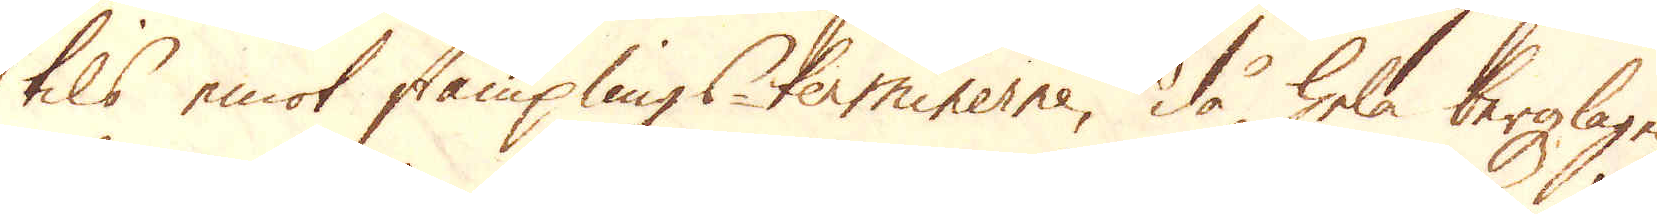tils emot stämplings-terminerne, då hela bergzlagen
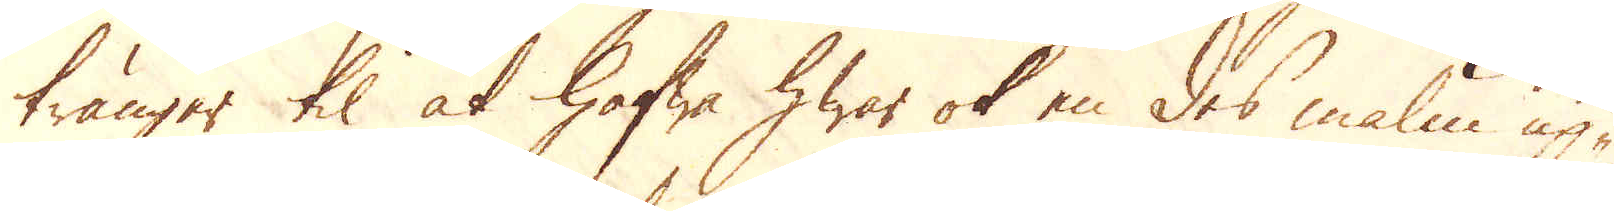tränger til at hafwa hwar ok en des malm up-
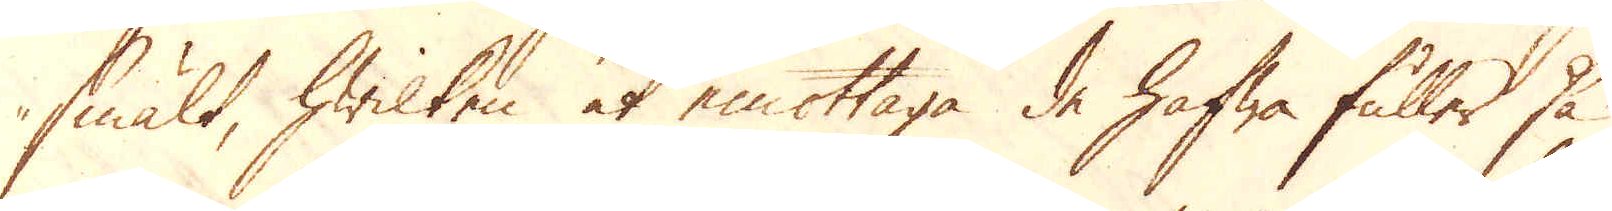smält, hwilken at emottaga de hafwa fuller så
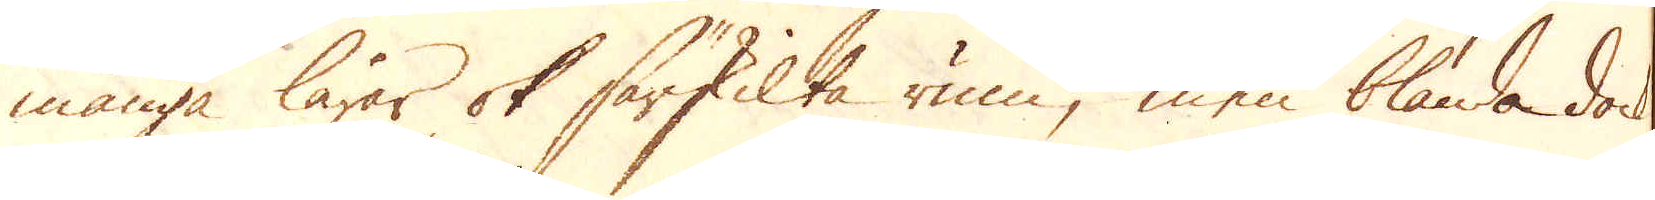många lårar ok särskilta rum, men blanda dock
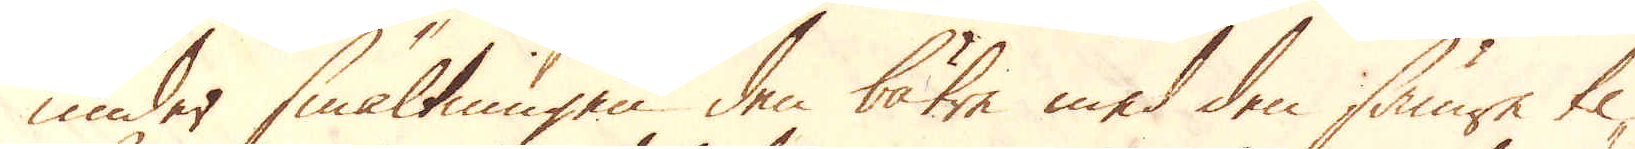under smältningen den bätre med den sämre til-
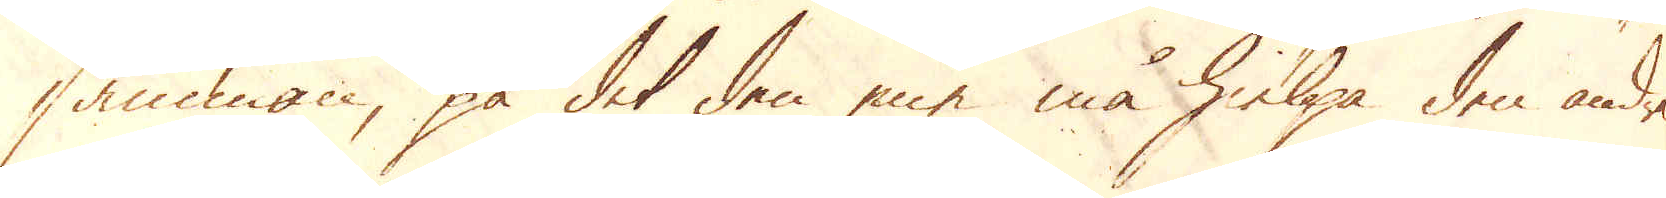samman, på det den ene må hielpa den andre
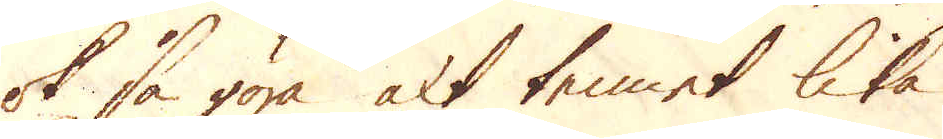ok så göra alt tennet lika.
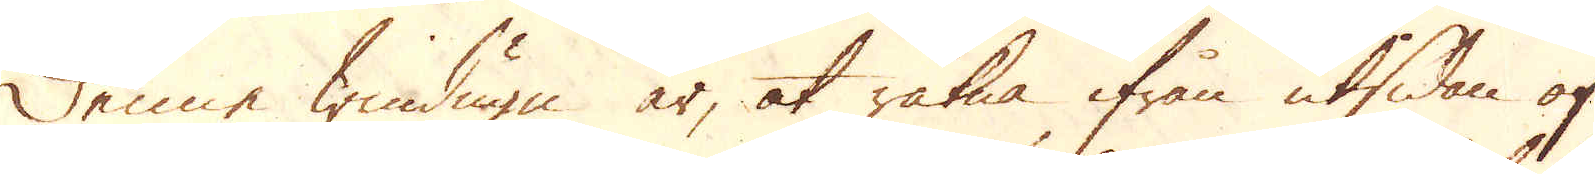Denne windugn är, at räkna ifrån utsidan af
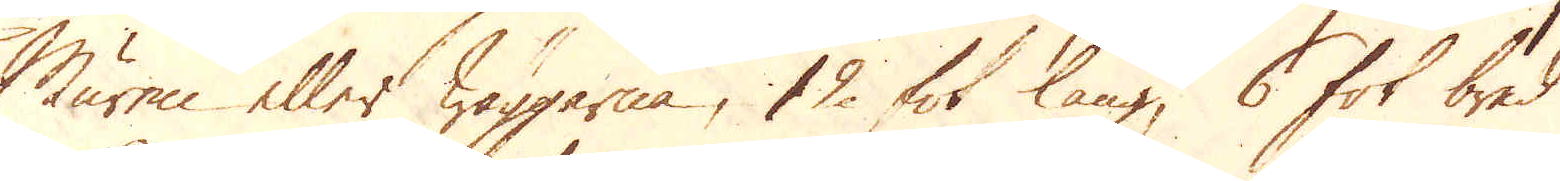Muren eller wäggarna, 12 fot lång, 6 fot bred
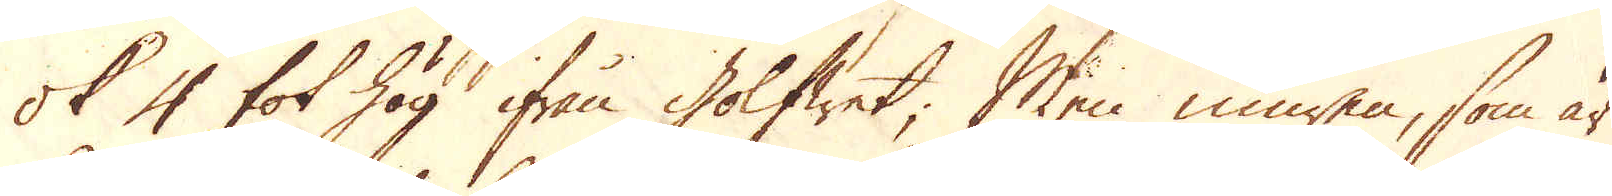ok 4 fot hög ifrån Golfwet; Men muren, som är
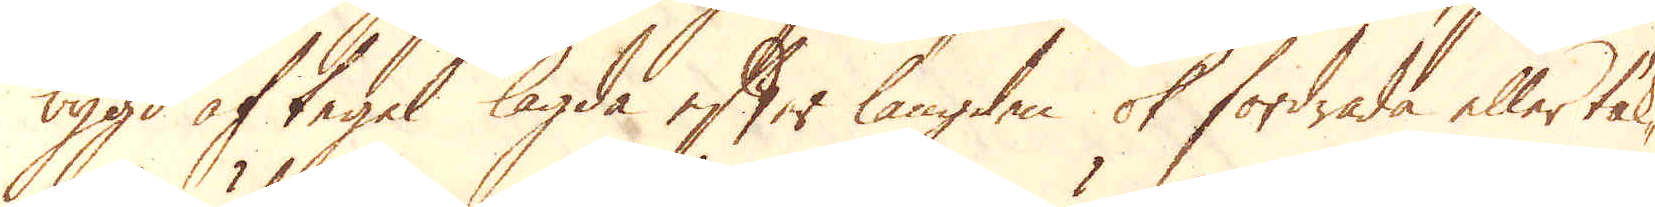bygd af tegel lagda efter längden ok fordrade eller täk-
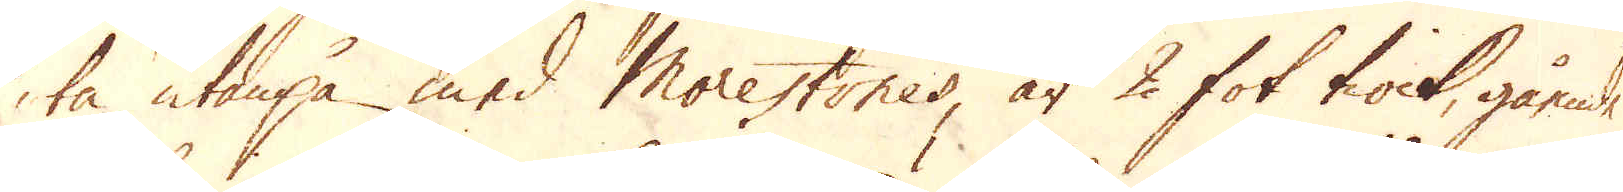ta, utanpå med Morestones är 2 fot tiock, gående
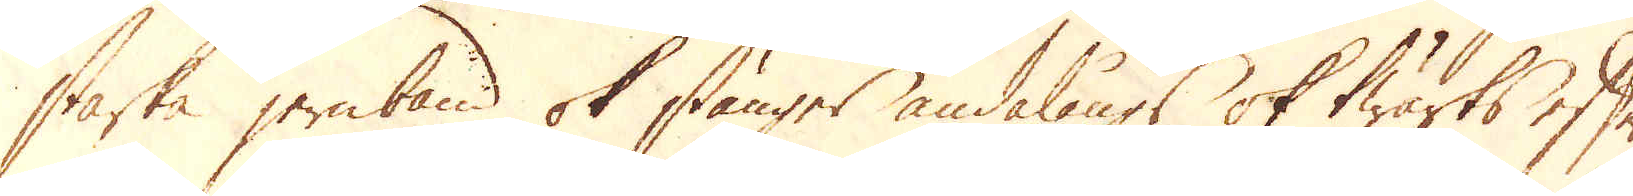starka jernband ok stänger ändalångs ok twärts efter
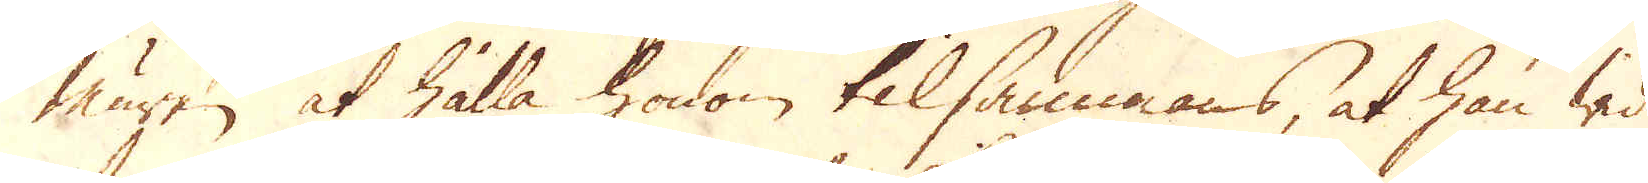muren at hålla honom tilsammans, at han wid
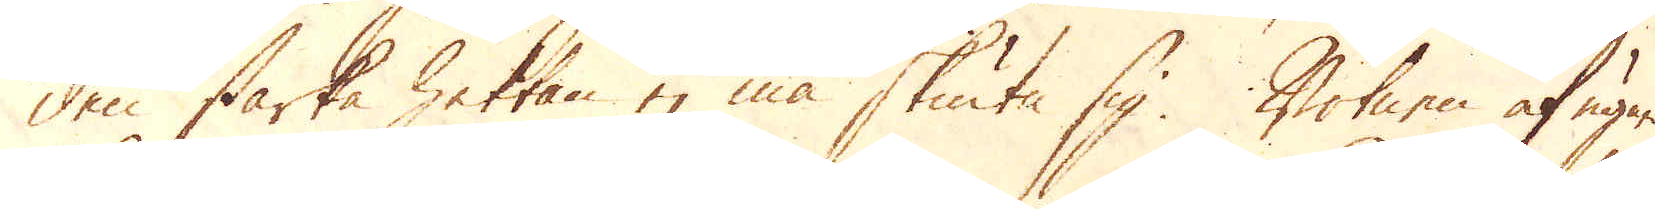den starka hettan ej må skiuta sig. Botnen af ugnen
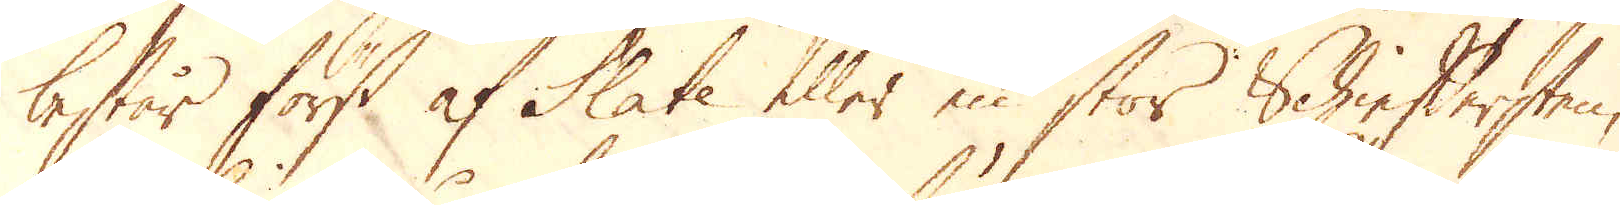består först af Slate eller en stor Schieftersten,
